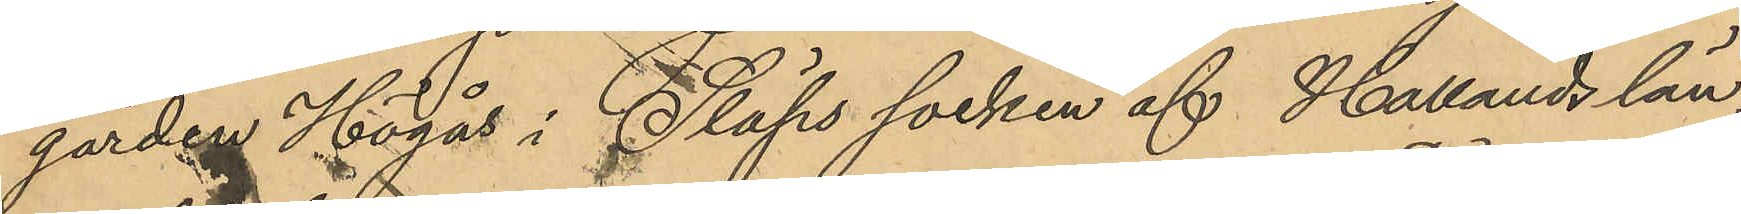gården Högås i Släps socken af Hallands län,
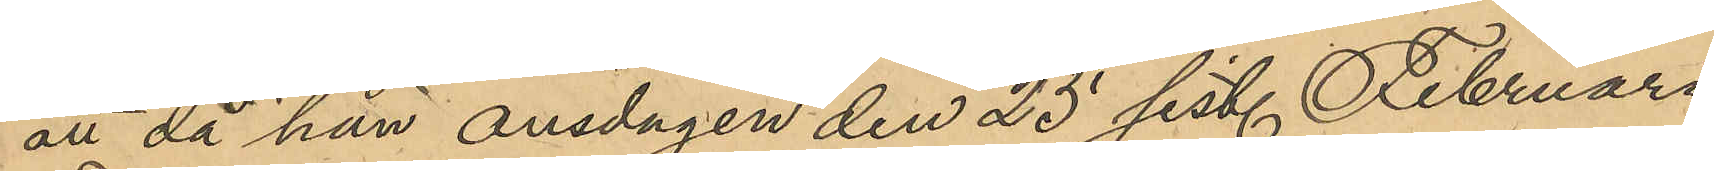att då han onsdagen den 25 sist. Februari
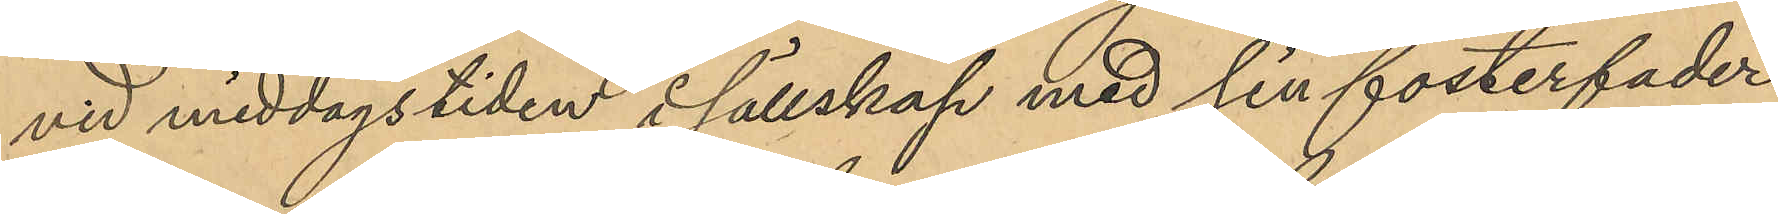vid middagstiden i sällskap med sin fosterfader
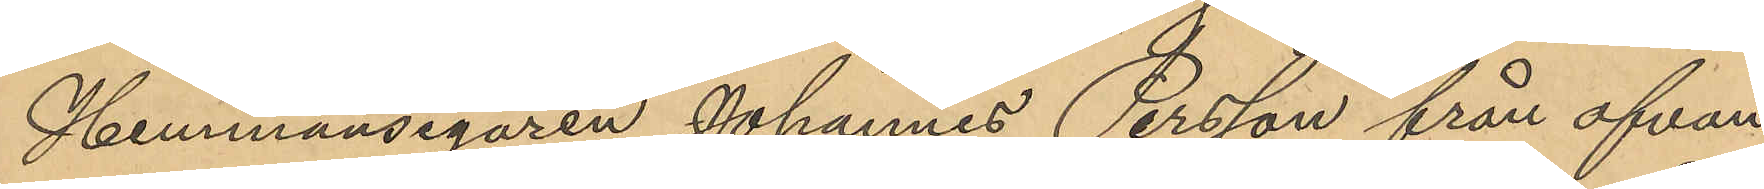Hemmansegaren Johannes Persson från ofvan¬
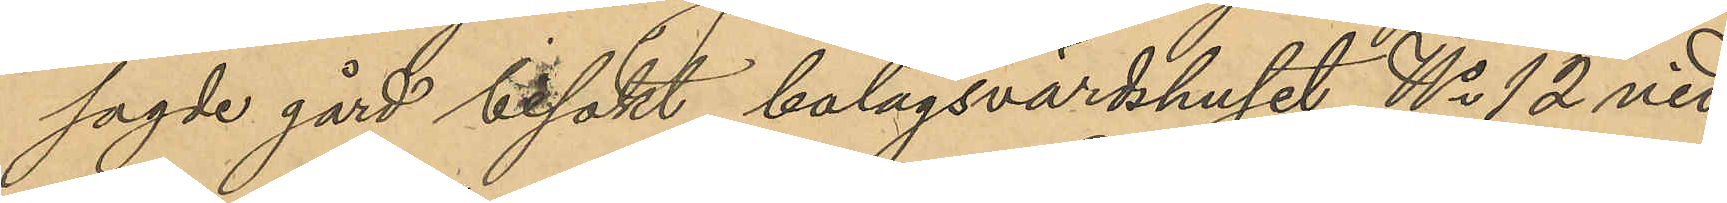sagde gård besökt bolagsvärdshuset No 12 vid
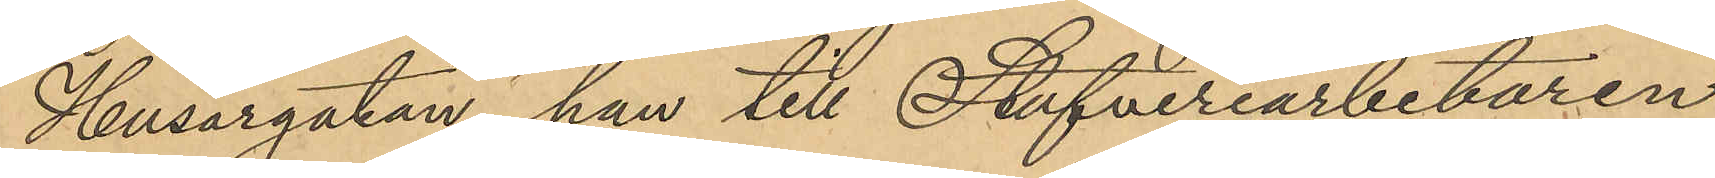Husargatan, han till Stufveriarbetaren
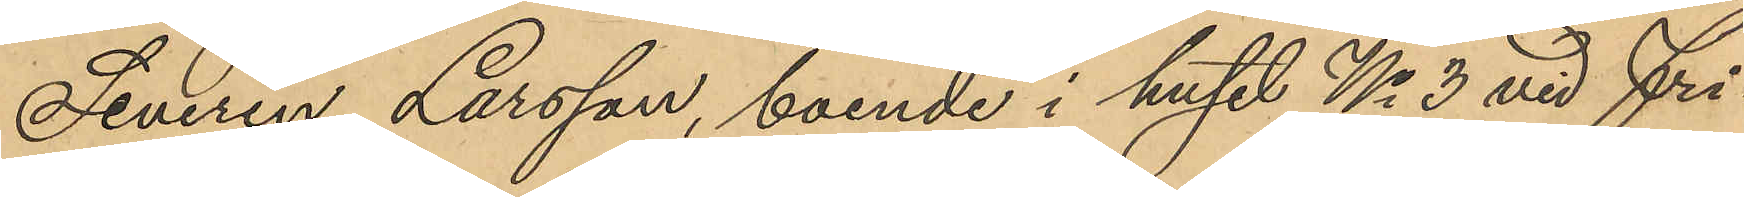Severin Larsson, boende i huset No 3 vid Fri¬
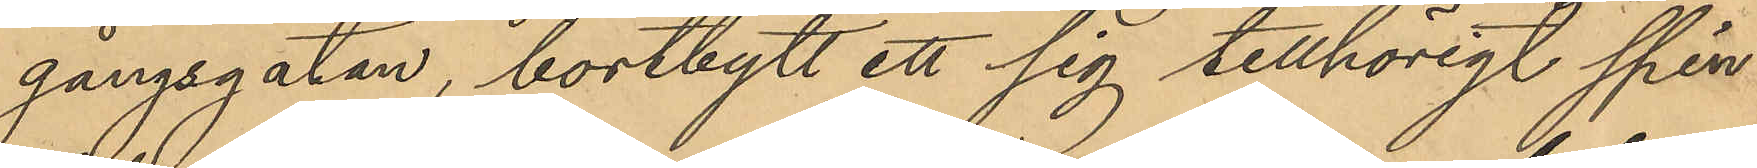gångsgatan, bortbytt ett sig tillhörigt spin¬
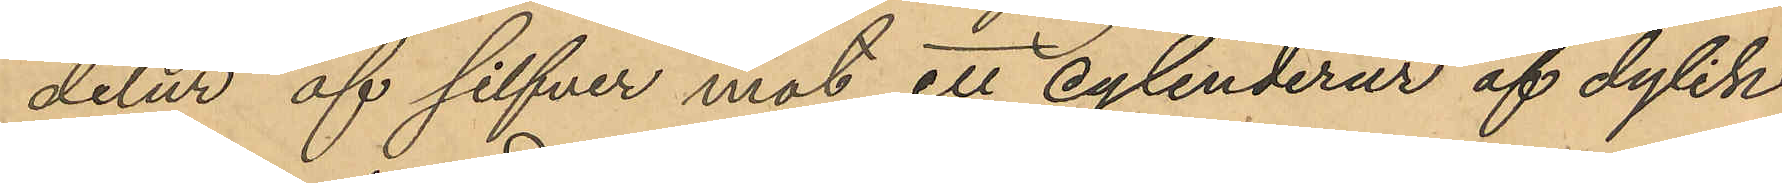delur af silfver mot ett cylinderur af dylik
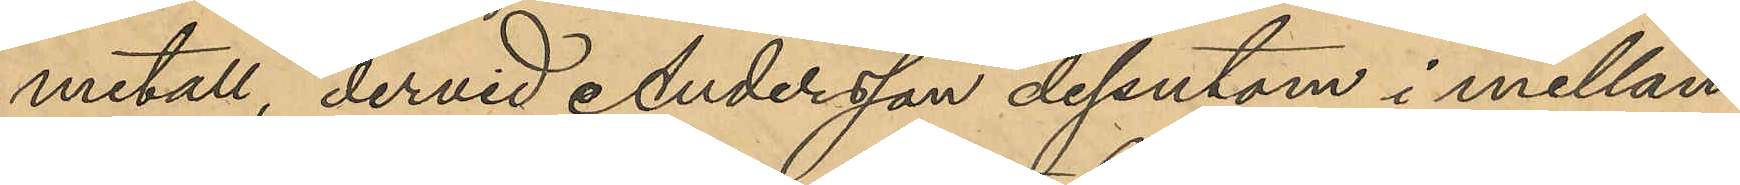metall, dervid Andersson dessutom i mellan¬
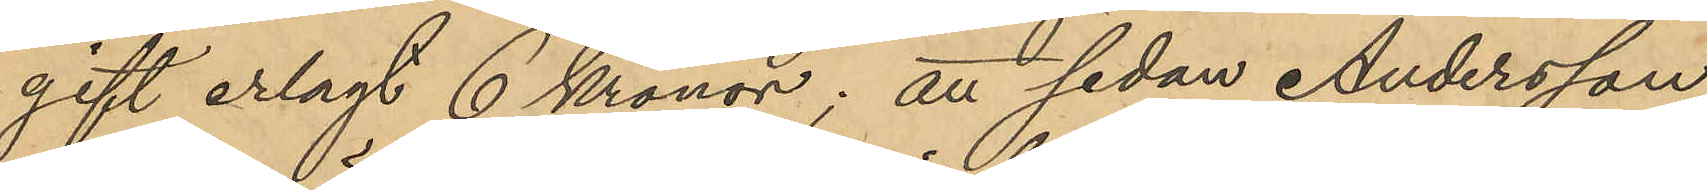gift erlagt 6 Kronor; att sedan Andersson
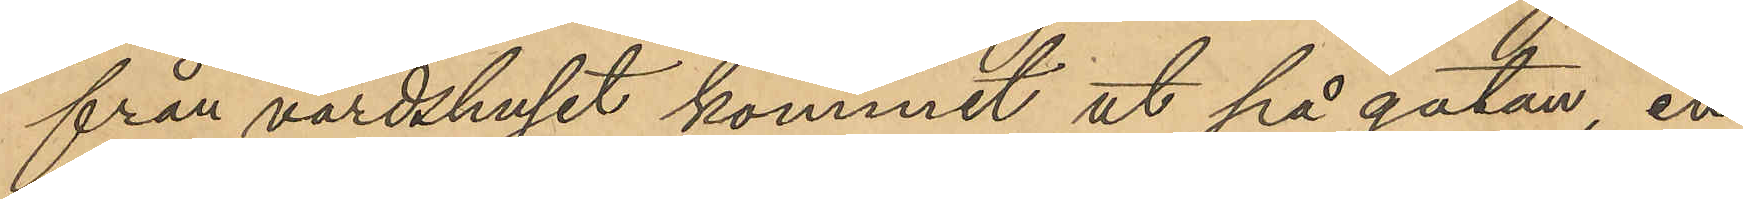från värdshuset kommit ut på gatan, en
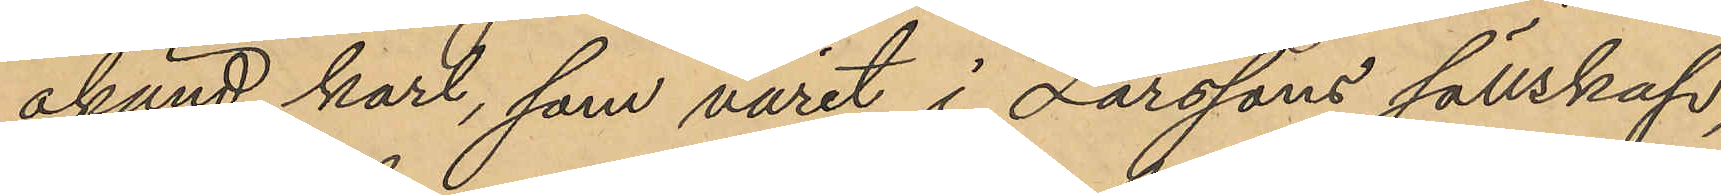okänd karl, som varit i Larssons sällskap,
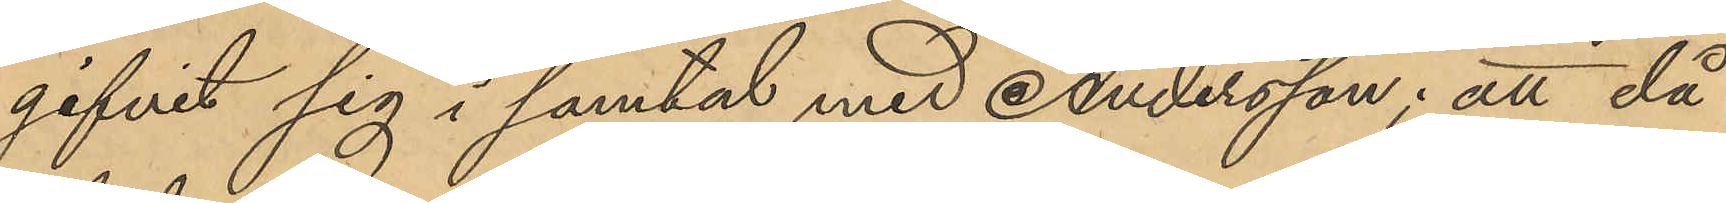gifvit sig i samtal med Andersson; att då
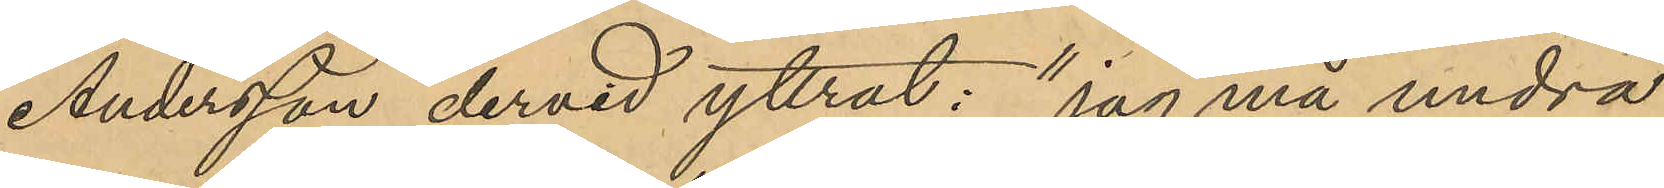Andersson dervid yttrat: "jag må undra
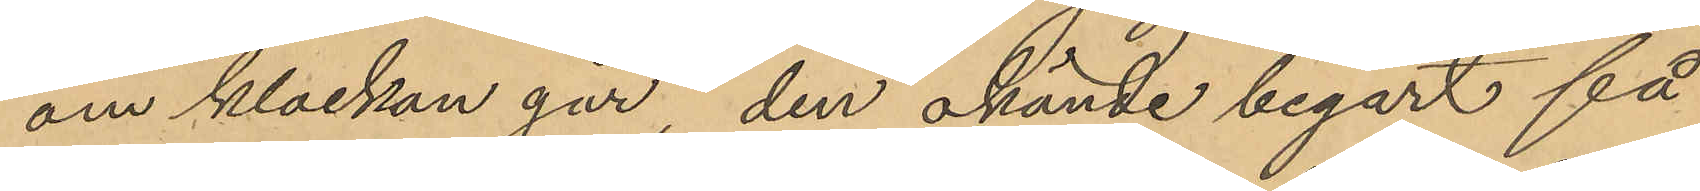om klockan går," den okände begärt få
